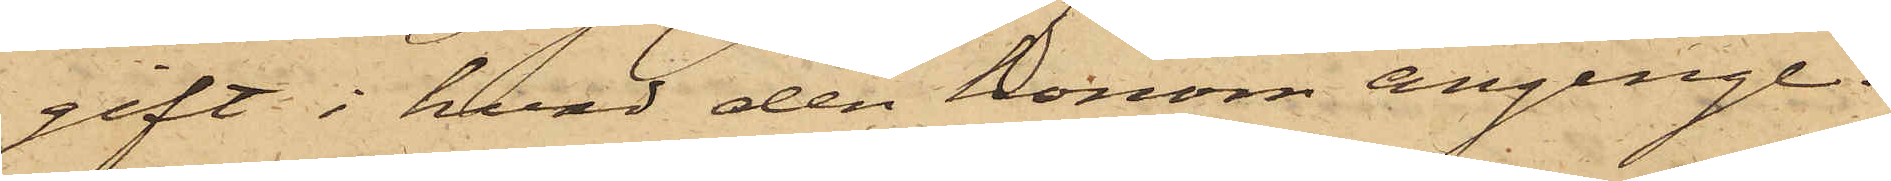gift i hvad den honom anginge.
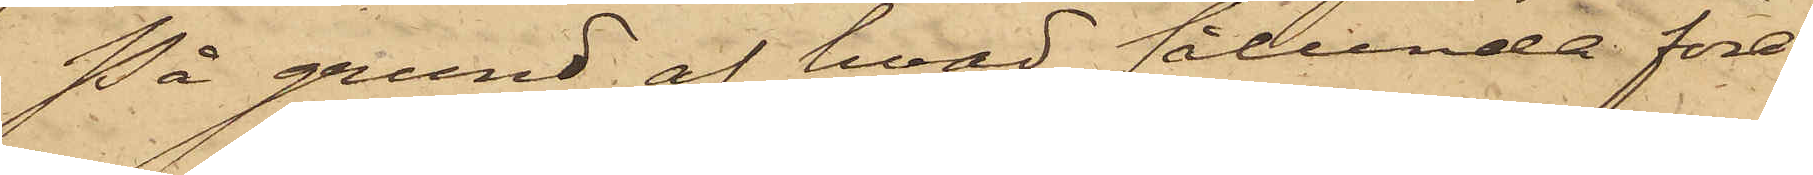På grund af hvad sålunda före¬
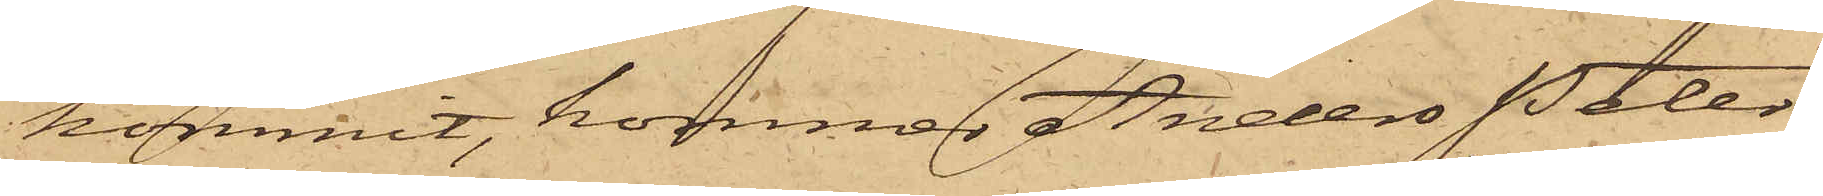kommit, kommer Anders Peter
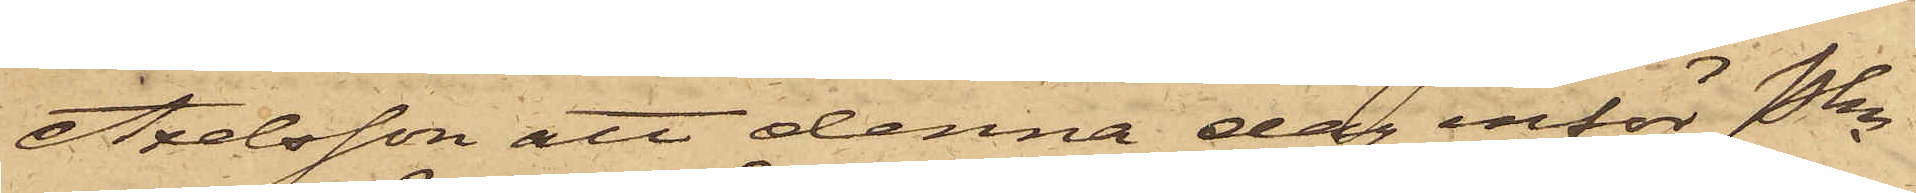Axelsson att denna dag inför Pkn
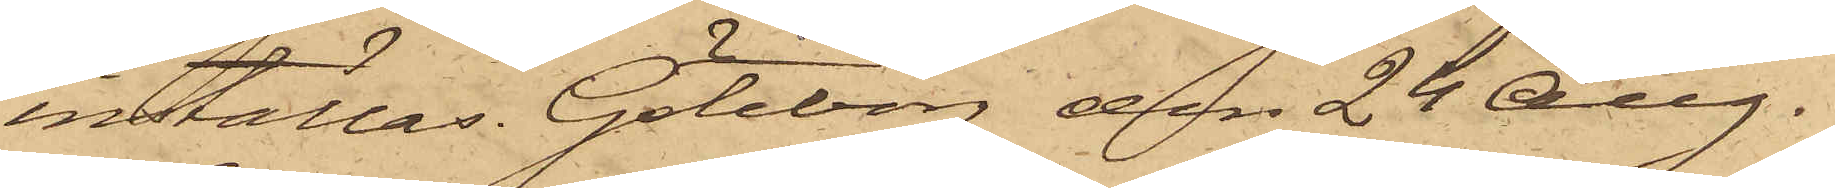inställas. Göteborg den 24 Aug.
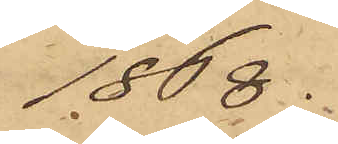1868.
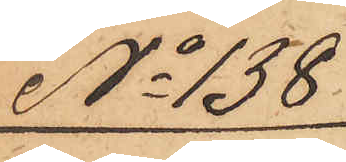No 138
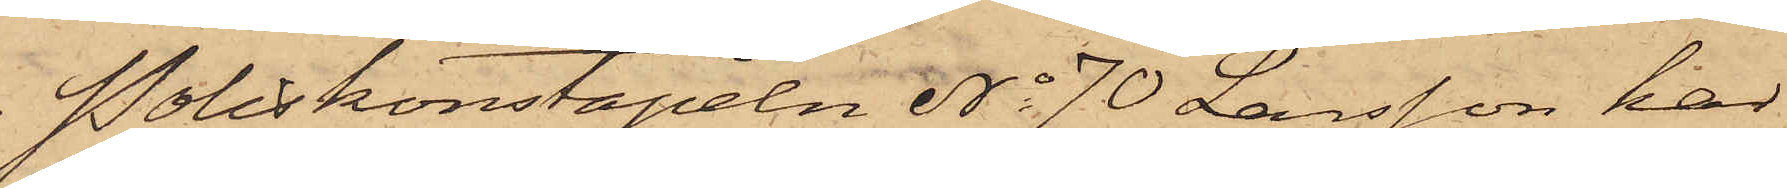Poliskonstapeln No 70 Larsson har
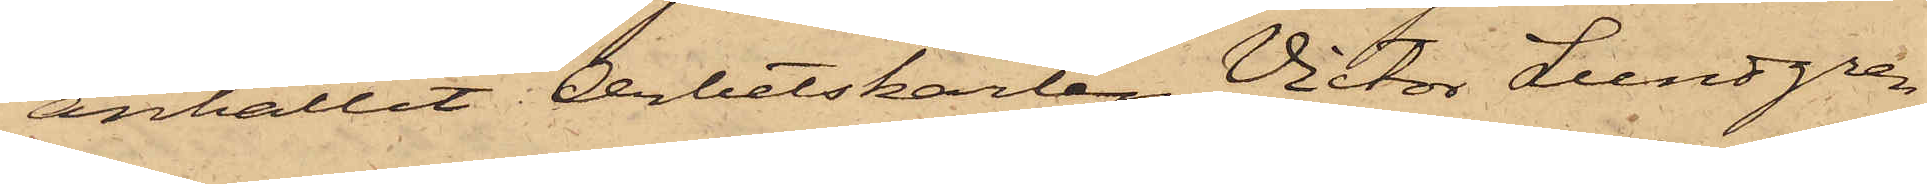anhållit Arbetskarlen Victor Lundgren
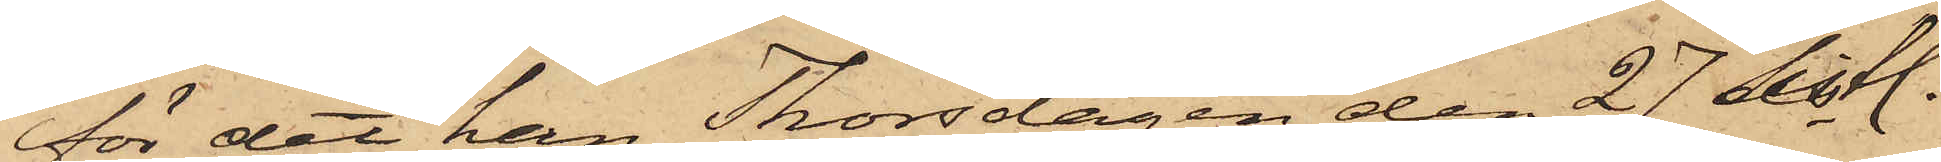för det han Thorsdagen den 27 sistl.
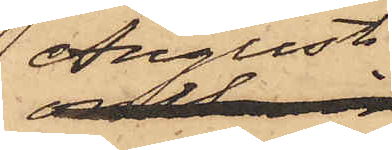Augusti
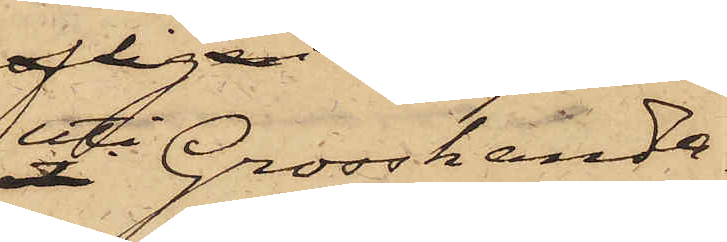uti Grosshandla¬
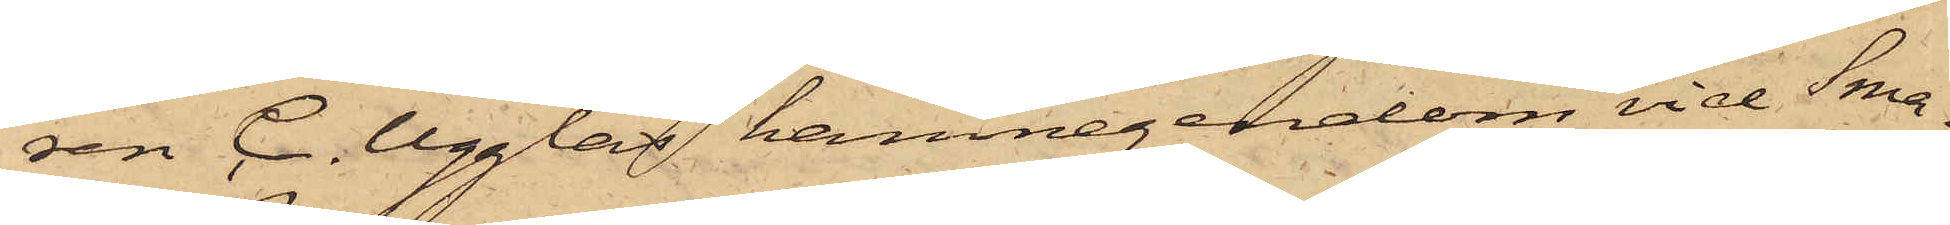ren C. Ugglas hamnegendom vid Sma¬
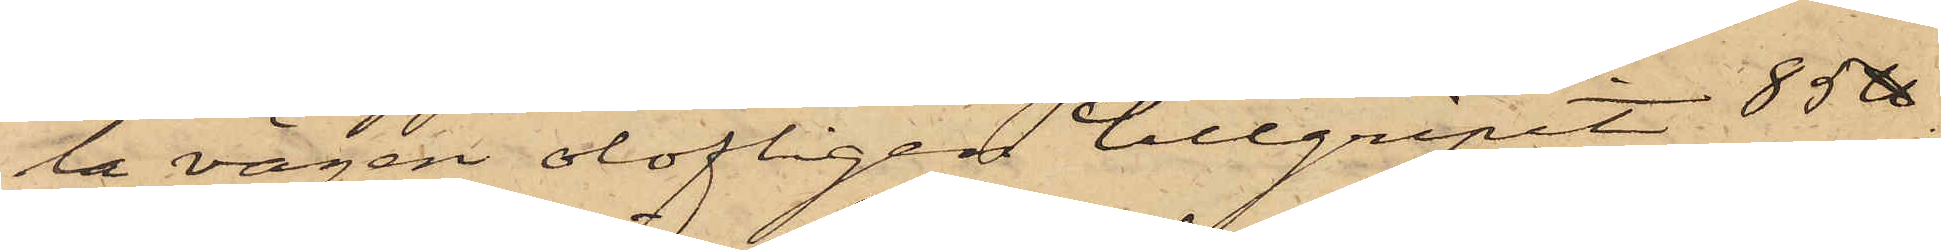la vägen olofligen tillgripit 85 ℔
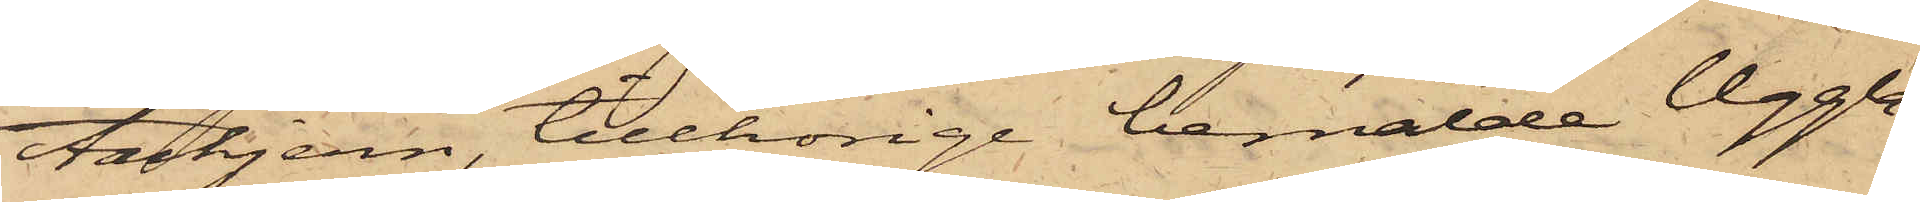tackjern, tillhörige bemälde Uggla,
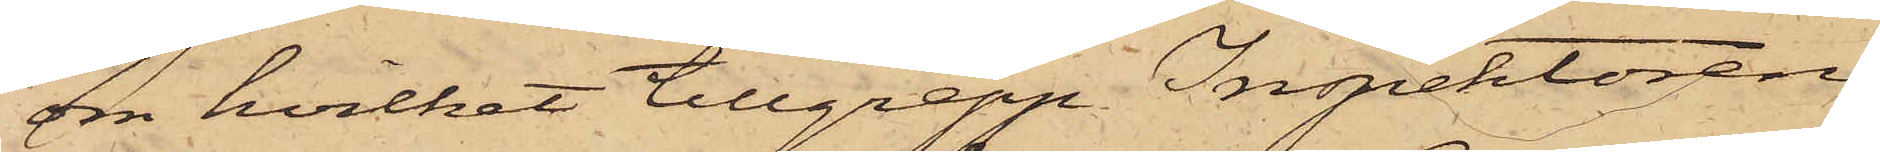son hvilket tillgrepp Inspektoren
